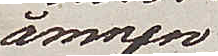ämnen
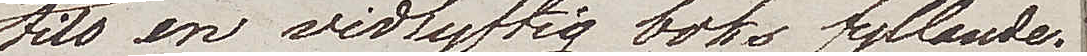till en vidlyftig boks fyllande.
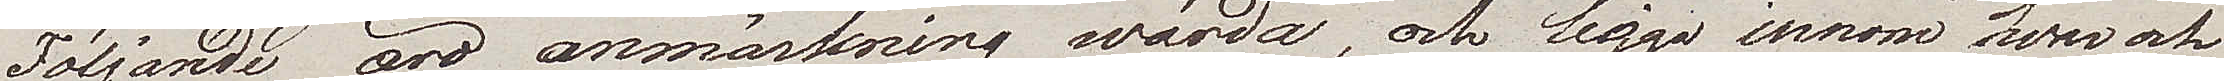Följande äro anmärkning wärda, och ligga innom hvar och
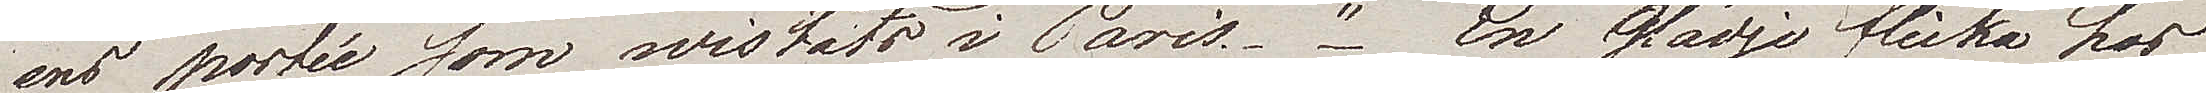ens portée som wistats i Paris. "En glädje flicka hos
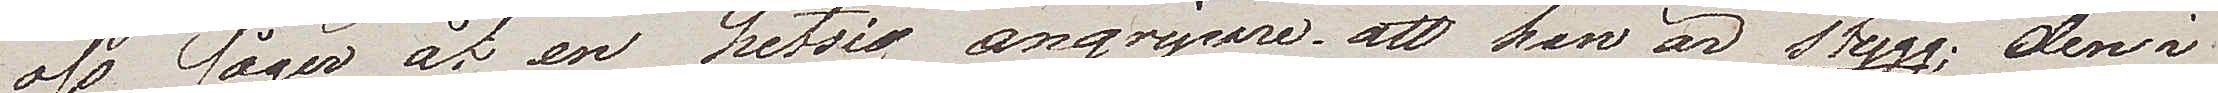oss säger åt  en hetsig angripare, att han är stygg: den i
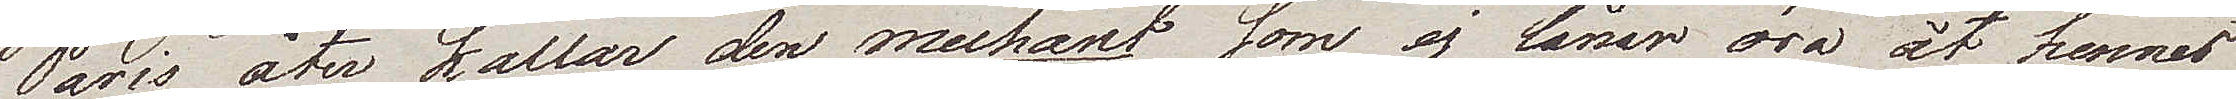Paris åter kallar den mechant som ej lånar öra åt hennes
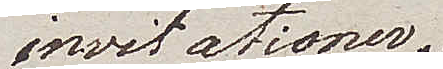invitationer. 
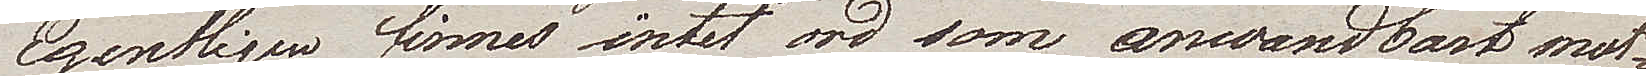Egentligen finnes intet ord som  anwendbart mot¬
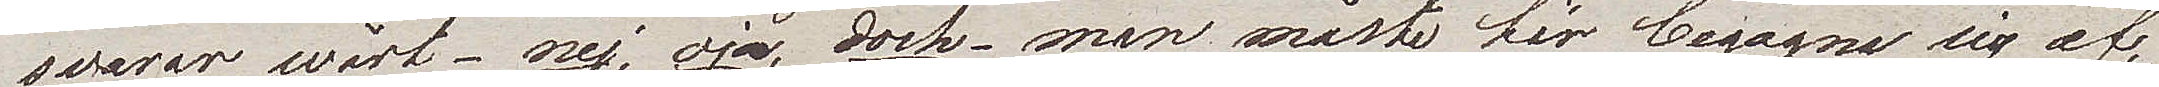svarar wårt – nej, ja, dock – man måste här begagna sig af
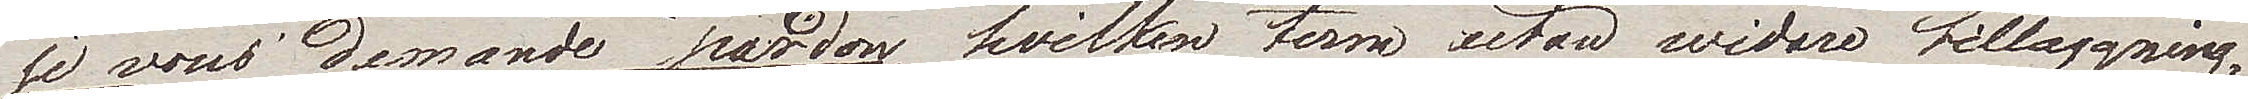je vous demande pardon, hvilken term utan widare tillaggning
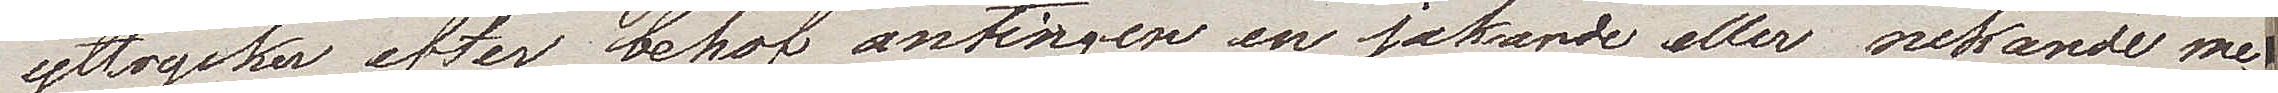uttrycker efter behof antingen en jakande eller nekande me¬
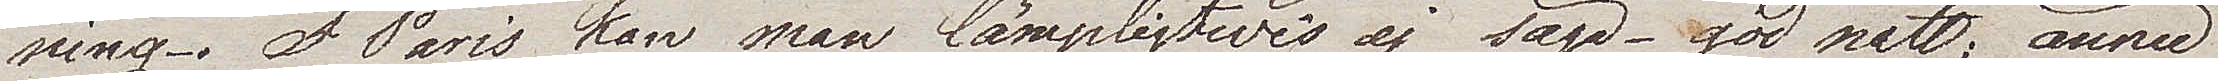ning. I Paris kan man lämpligtwis ej  säga – god natt; ännu
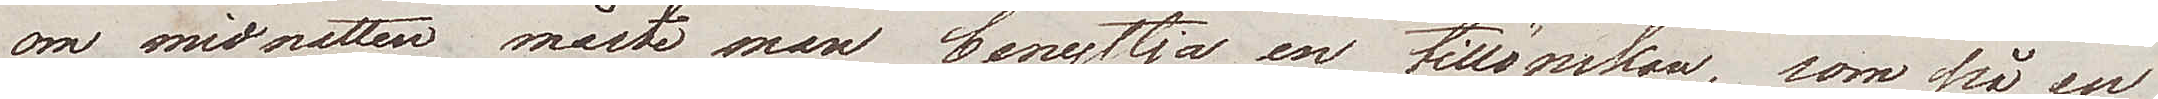om midnatten måste man benyttja en tillönskan, som på en
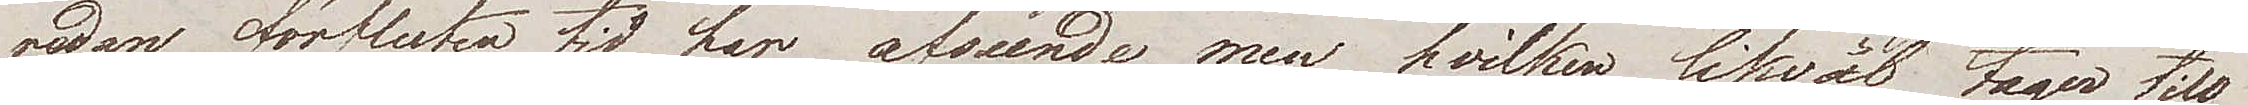redan förfluten tid har afseende, men hvilken likväl tager till
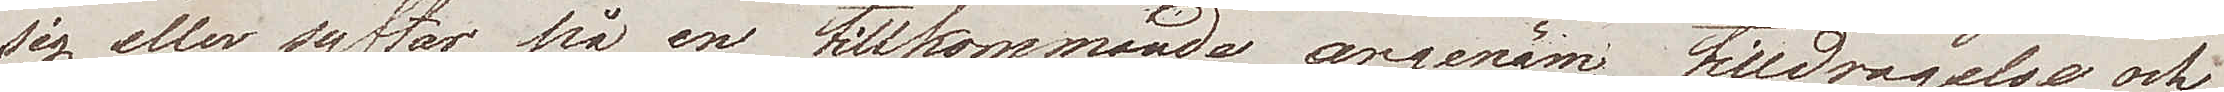sig eller syftar på en tillkommande angenäm tilldragelse och
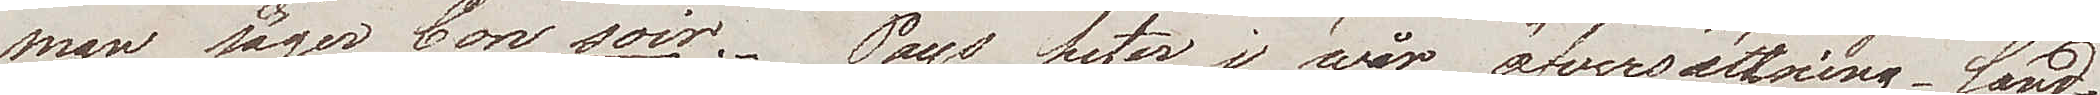man säger bon soir. Pays heter i wår öfversättning land
